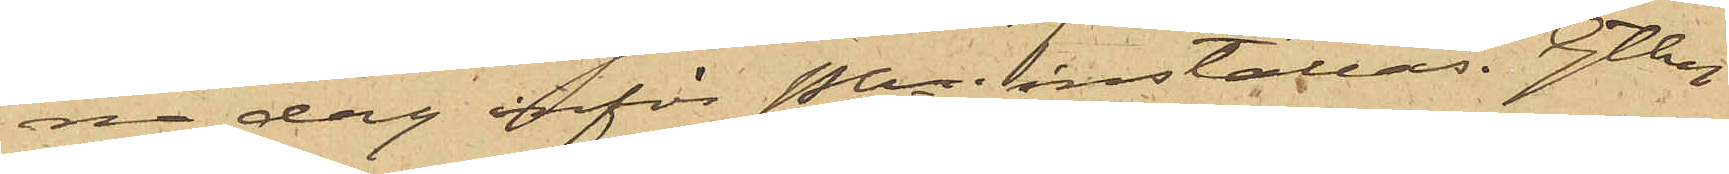na dag inför Pkn inställas. Gtbg
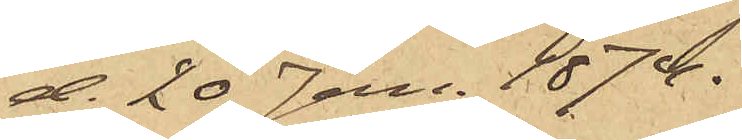d. 20 Jan. 1874.
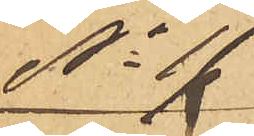No 17
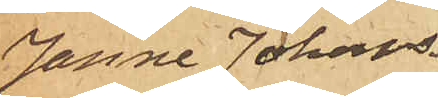Janne Johans¬
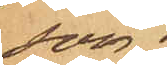son.
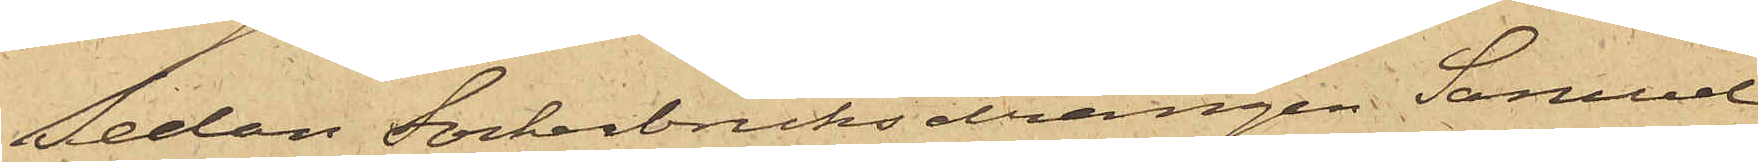Sedan Sockerbruksdrängen Samuel
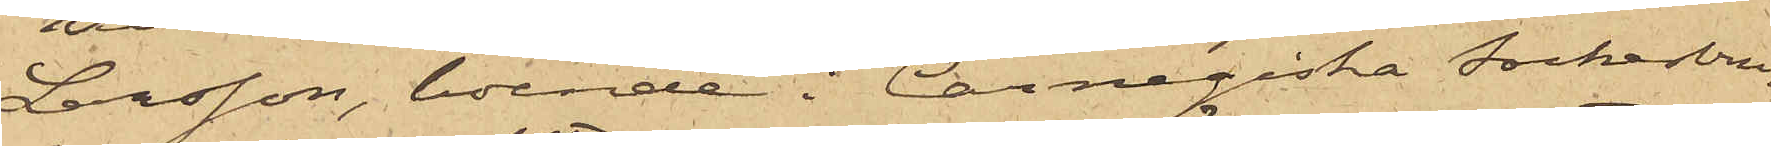Larsson, boende i Carnegiska sockerbru¬
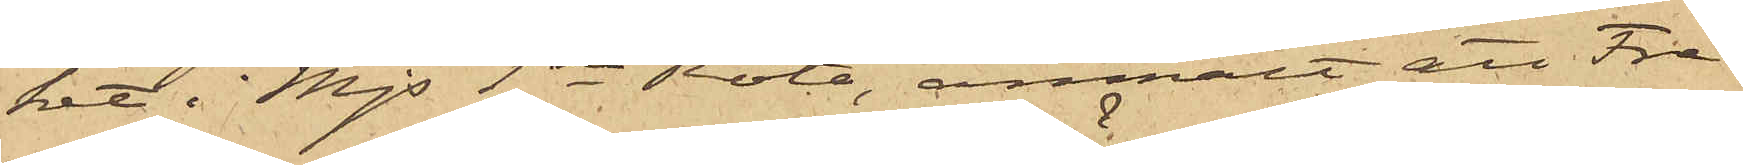ket i Mjs 1sta Rote, anmält att Fre¬
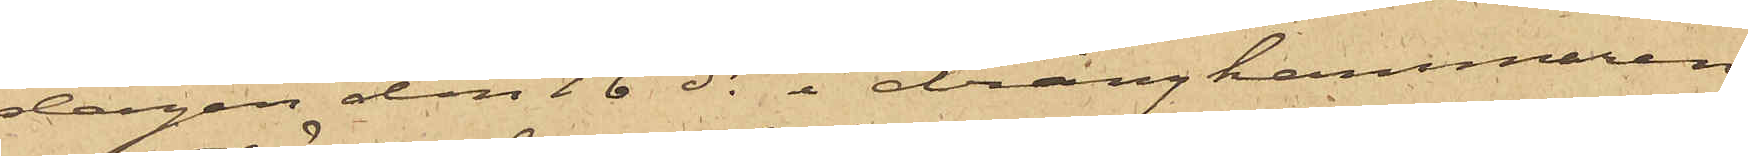dagen den 16 ds i drängkammaren
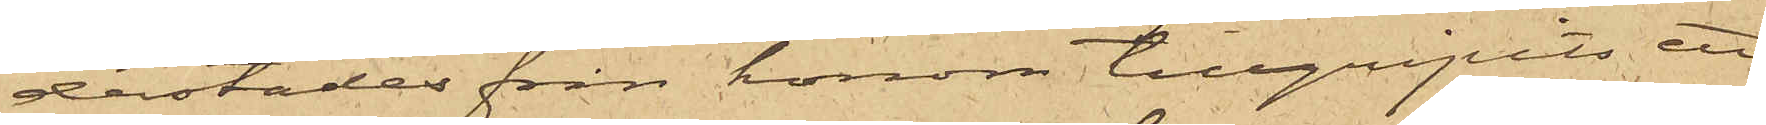derstädes från honom tillgripits ett
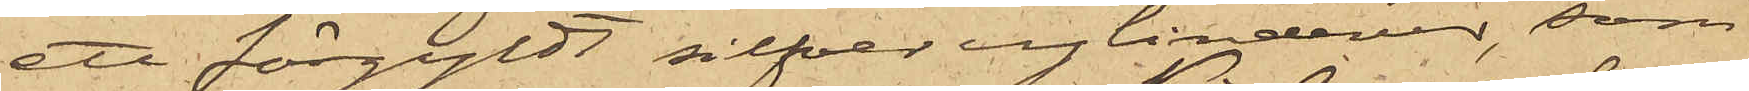ett förgyldt silfver cylinderur, som
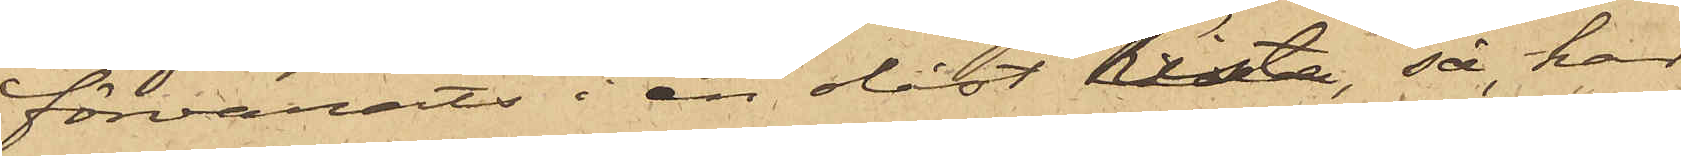förvarats i en olåst kista, så har
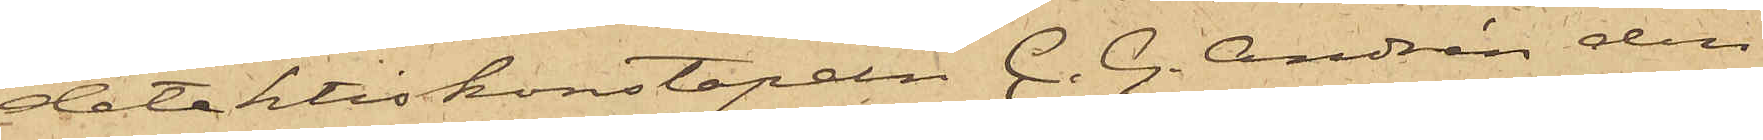detektivkonstapeln C. G. Andrén den
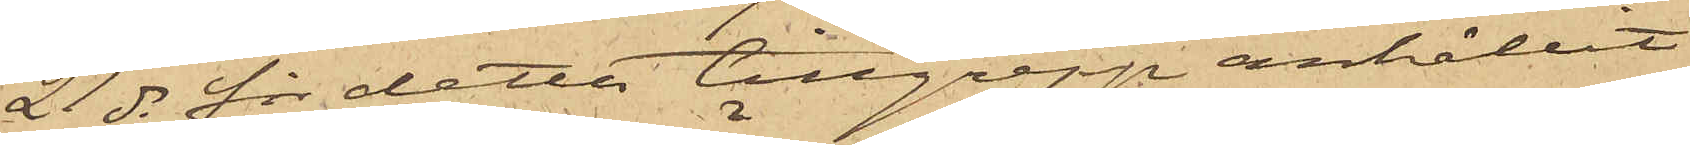21 ds för detta tillgrepp anhållit
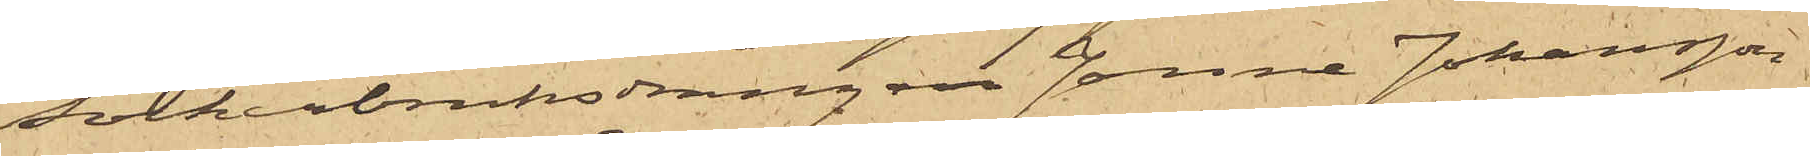sockerbruksdrängen Janne Johansson
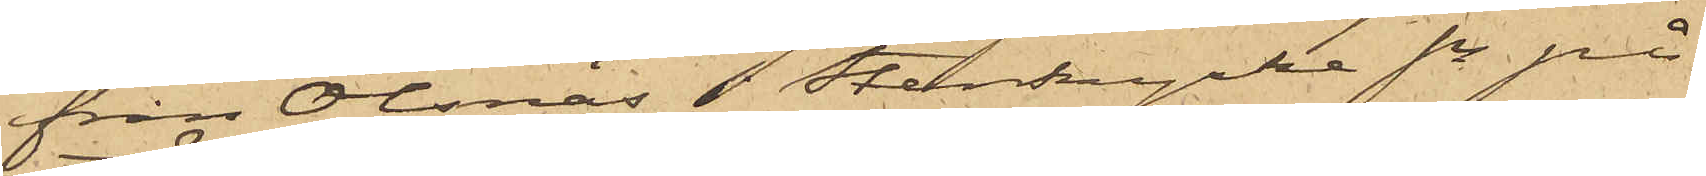från Olsnäs i Stenkyrka sn på
